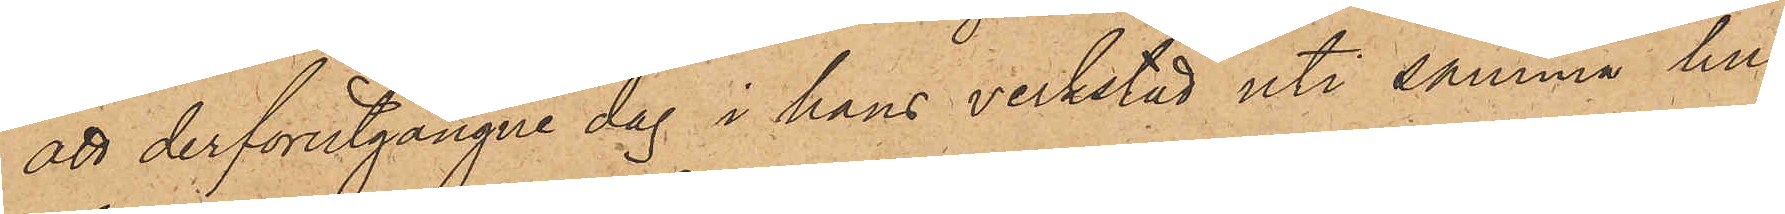att derförutgångne dag i hans verkstad uti samma hus
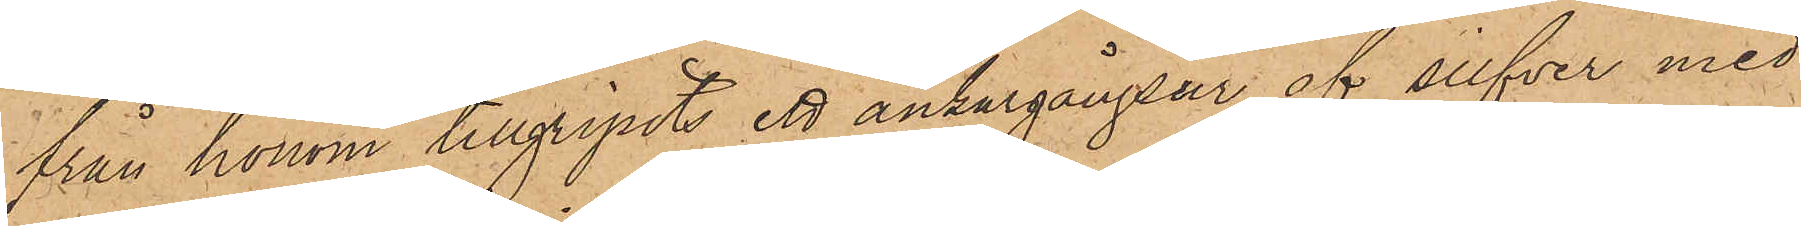från honom tillgripits ett ankargångsur af silfver med
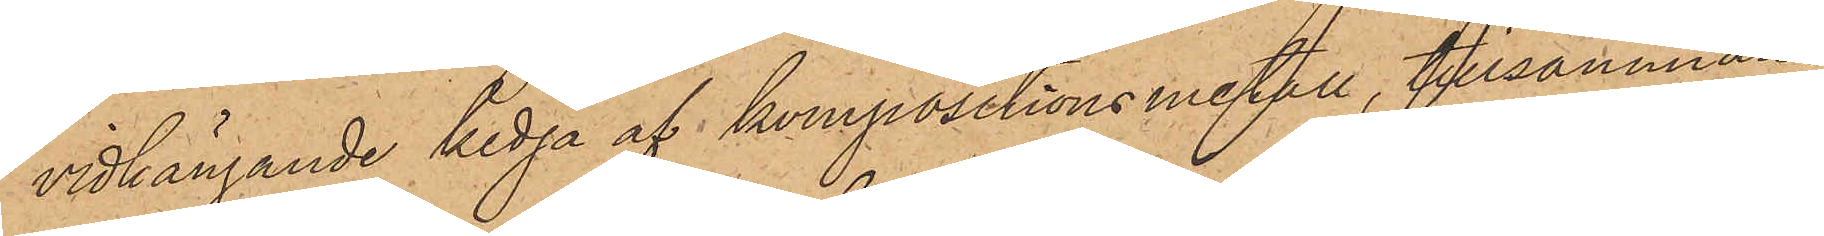vidhängande kedja af kompositionsmetall, tillsammans
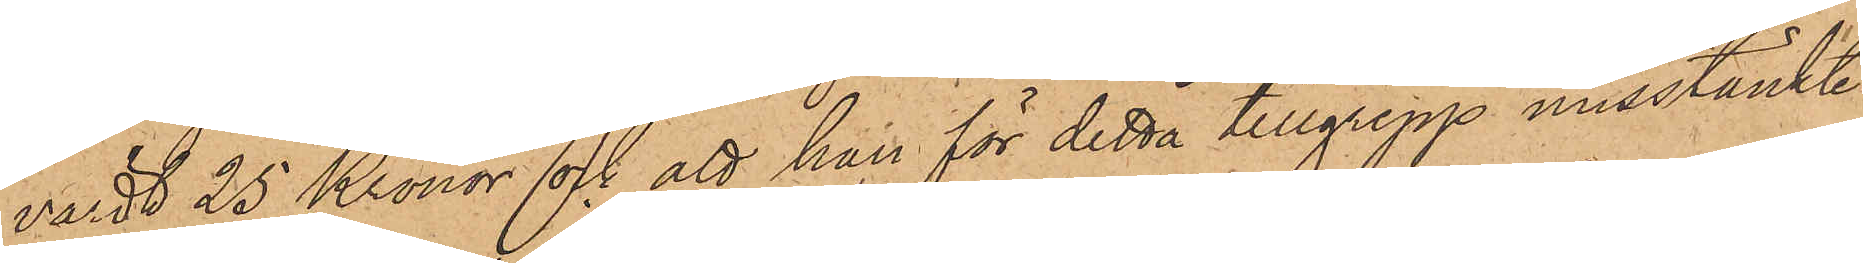värdt 25 Kronor och att han för detta tillgrepp misstänkte
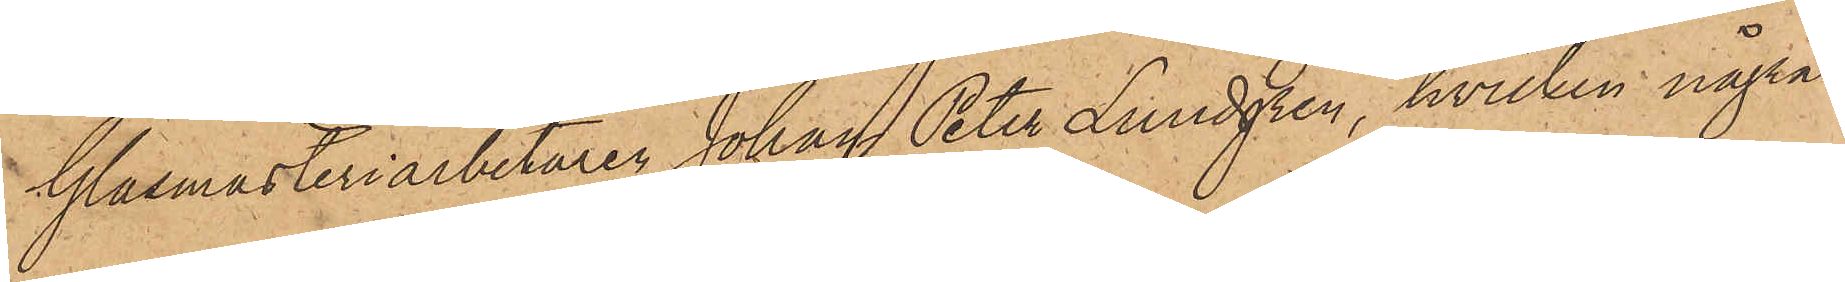Glasmästeriarbetaren Johan Peter Lundgren, hvilken några
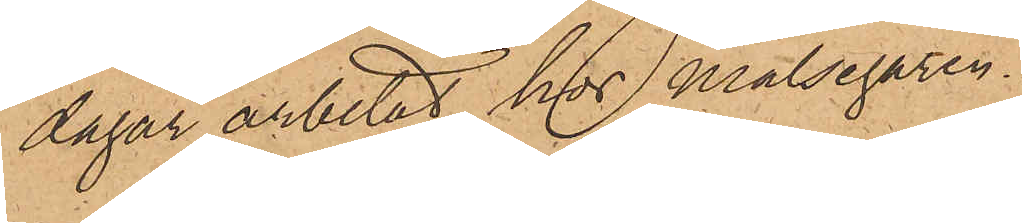dagar arbetat hos målsegaren.
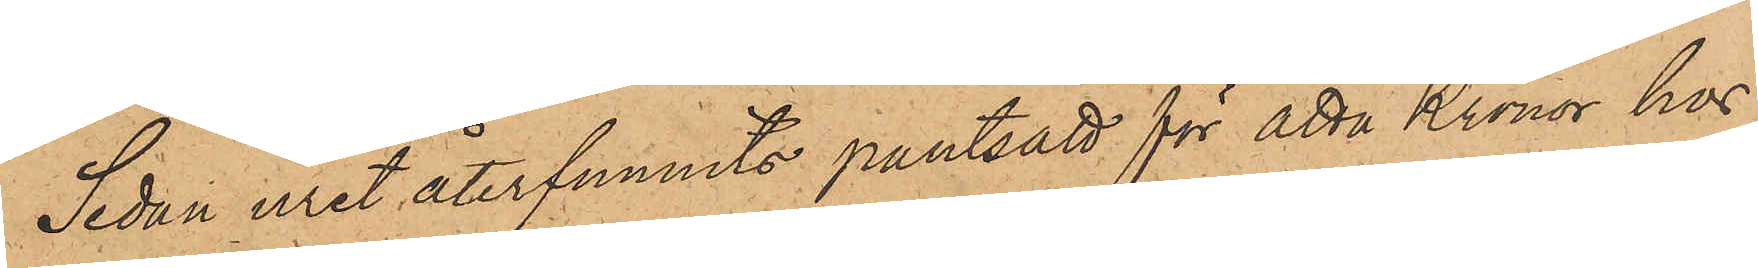Sedan uret återfunnits pantsatt för åtta Kronor hos
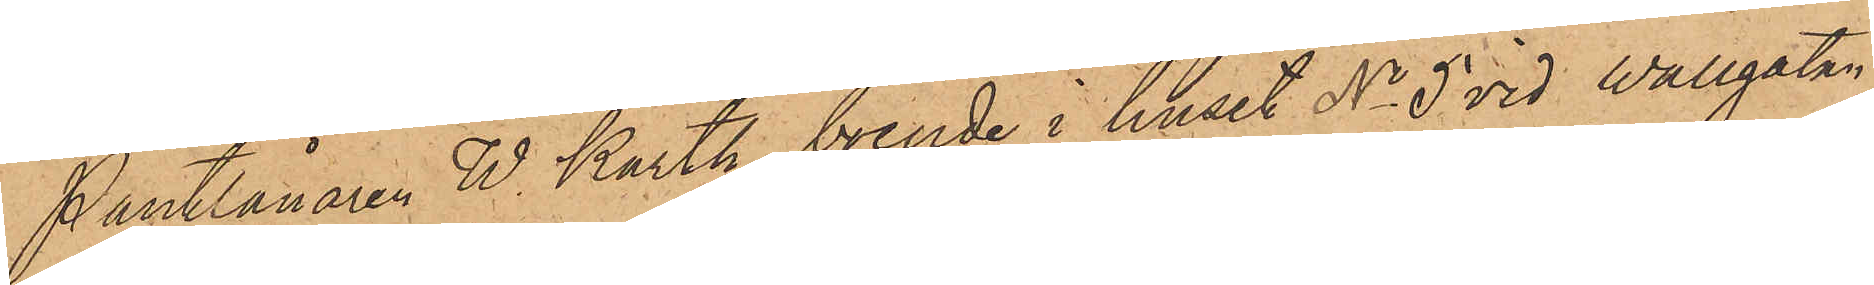Pantlånaren W. Karth, boende i huset No 5 vid Wallgatan,
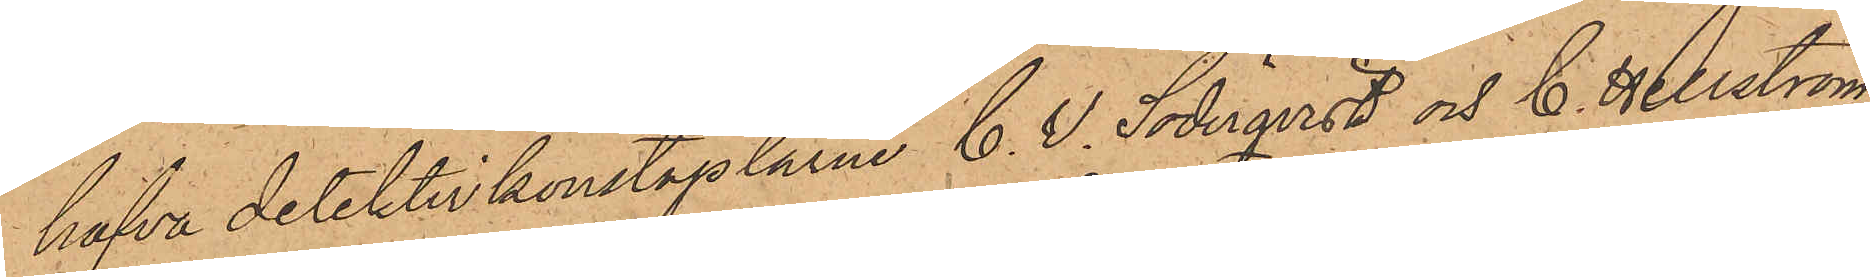hafva detektivkonstaplarne C. W. Söderqvist och C. Hellström
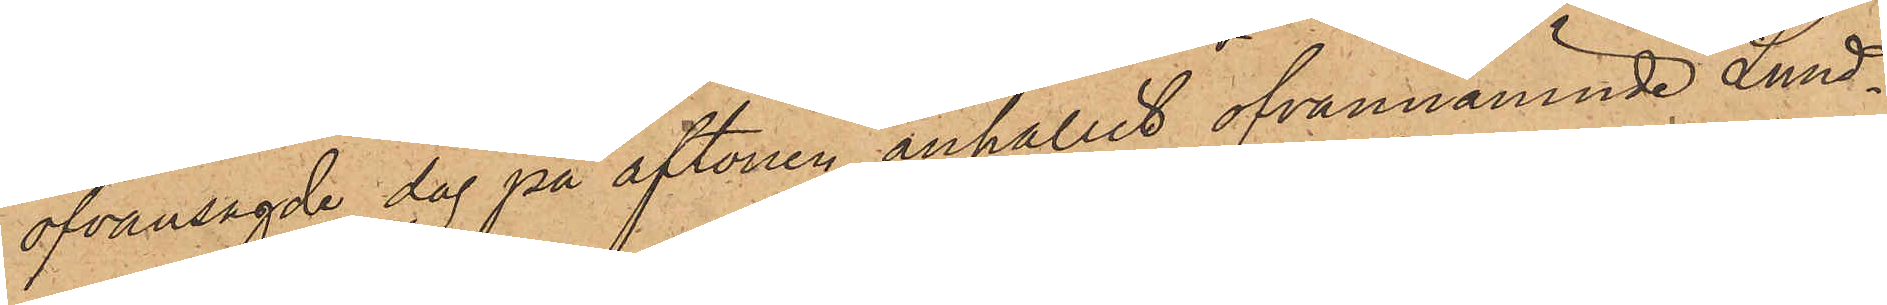ofvansagde dag på aftonen anhållit ofvannämnde Lund¬
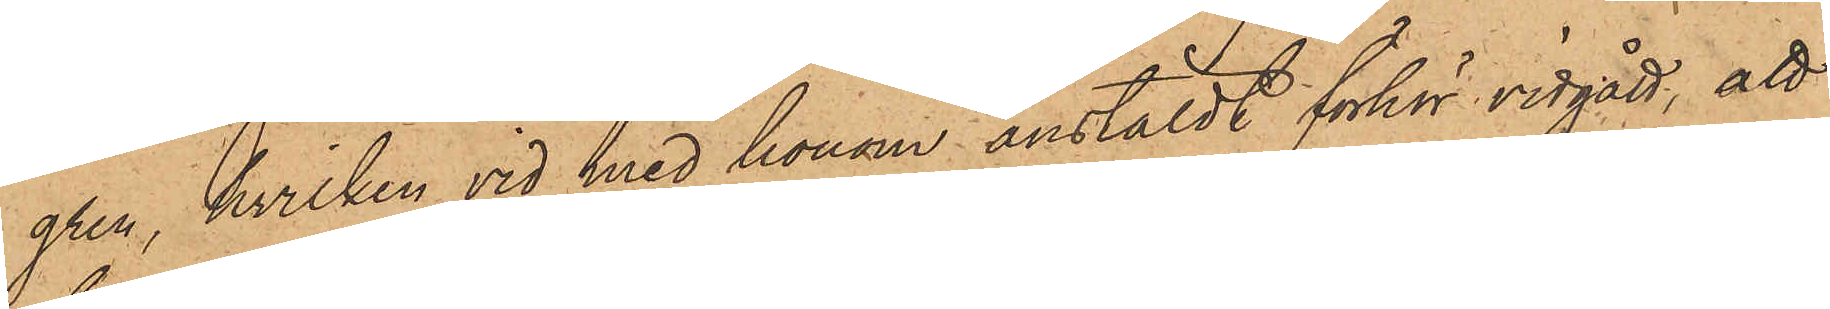gren, hvilken vid med honom anstäldt förhör vidgått, att
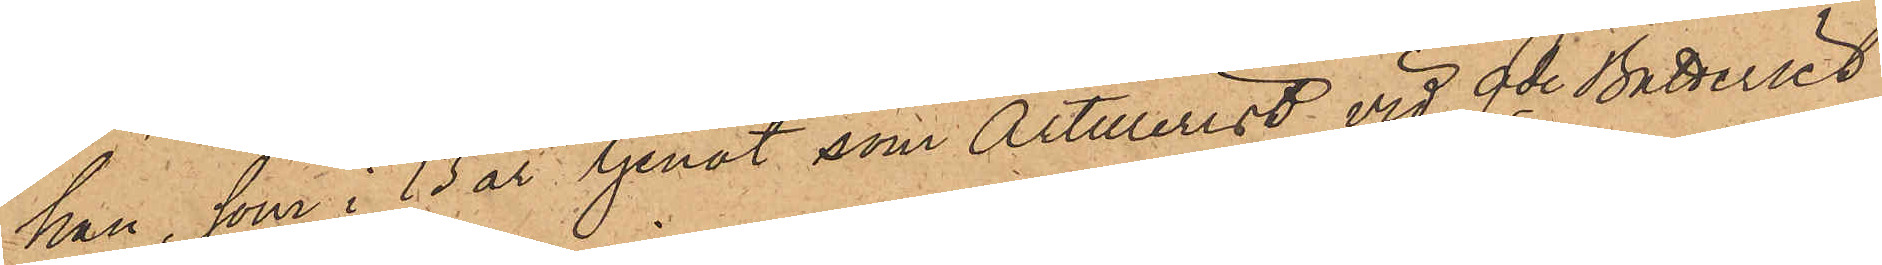han, som i 13 år tjenat som Artillerist vid 9de Batteriet
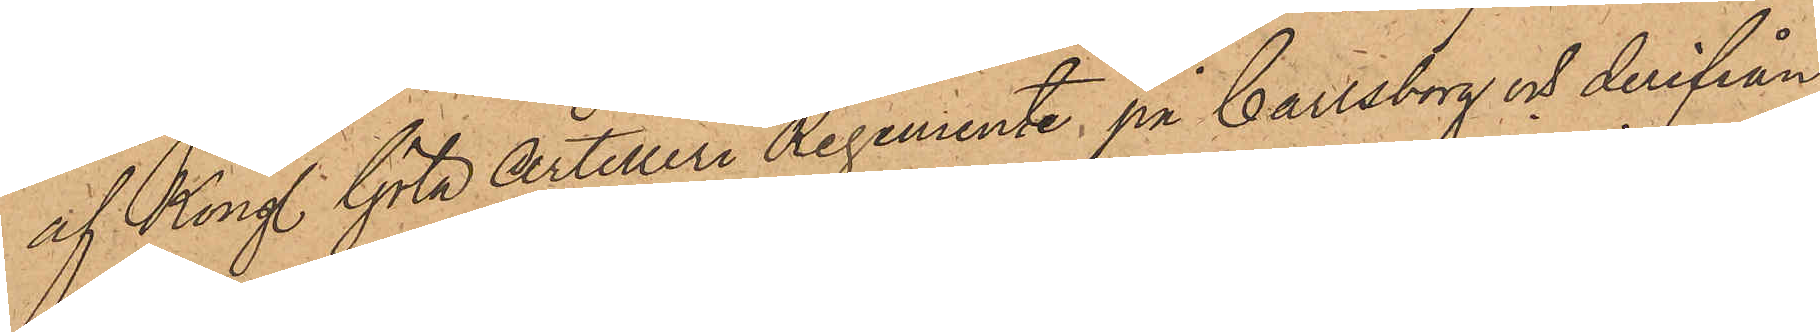af Kongl. Göta Artilleri Regemente på Carlsborg och derifrån
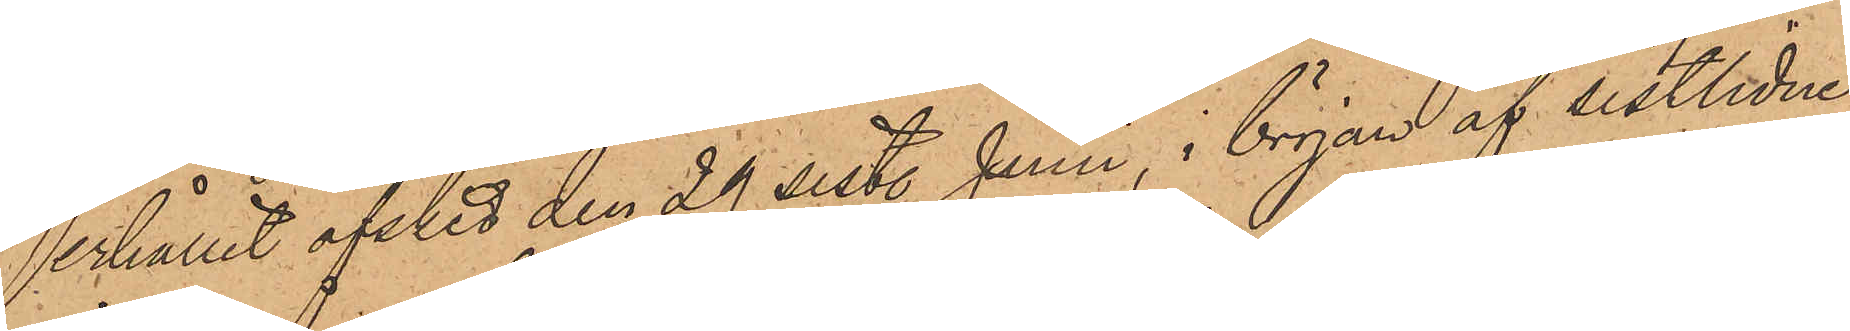erhållit afsked den 29 sist. Juni, i början af sistlidne
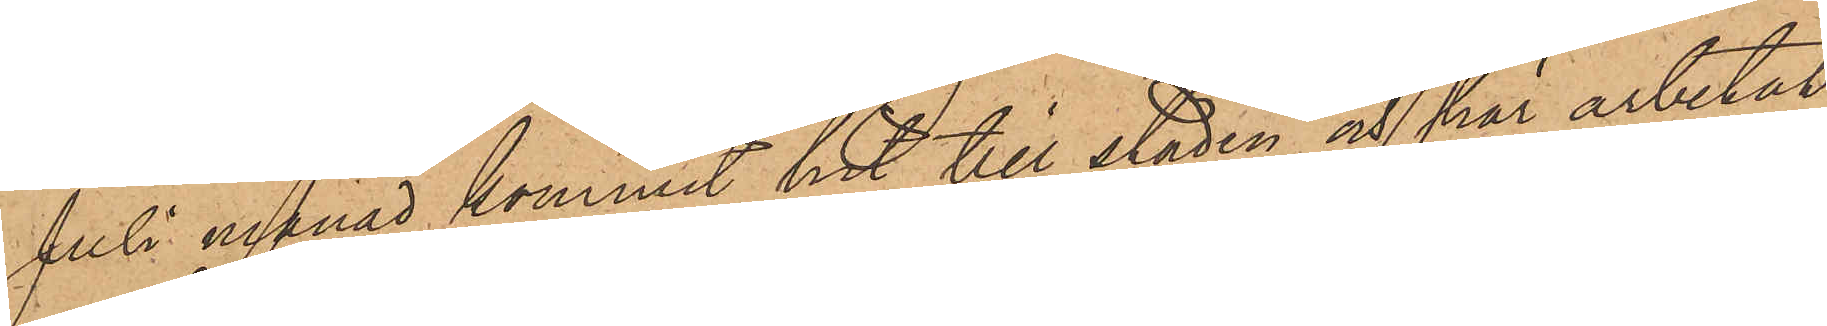Juli månad kommit hit till staden och här arbetat
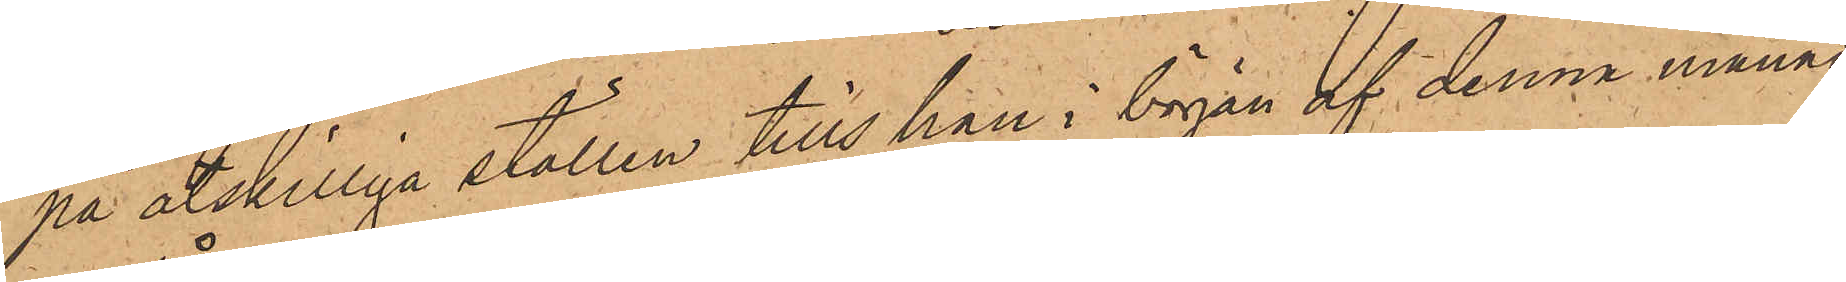på åtskilliga ställen tills han i början af denna månad
